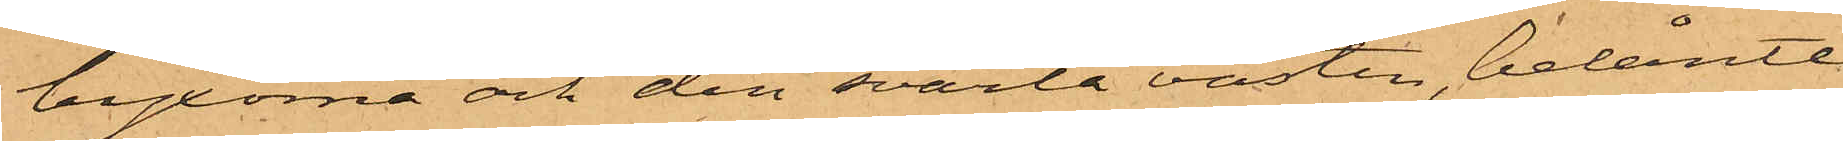byxorna och den svarta västen, belånte
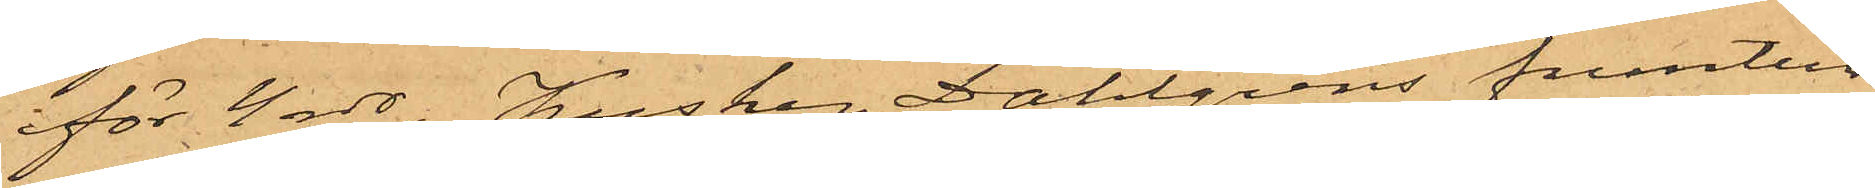för 4 rdr, Kusken Dahlgrens fruntim¬
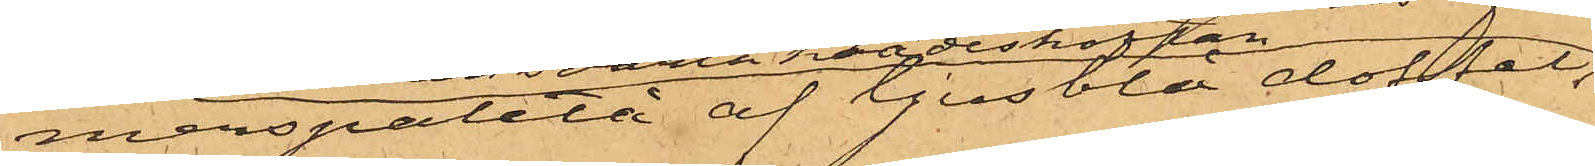merspaletå af ljusblå doffel,
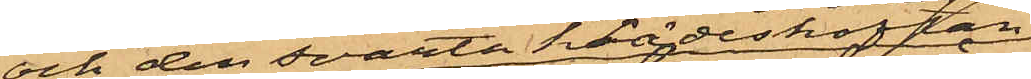och den svarta klädeskoftan,
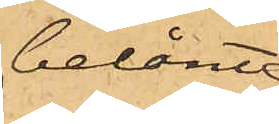belånte
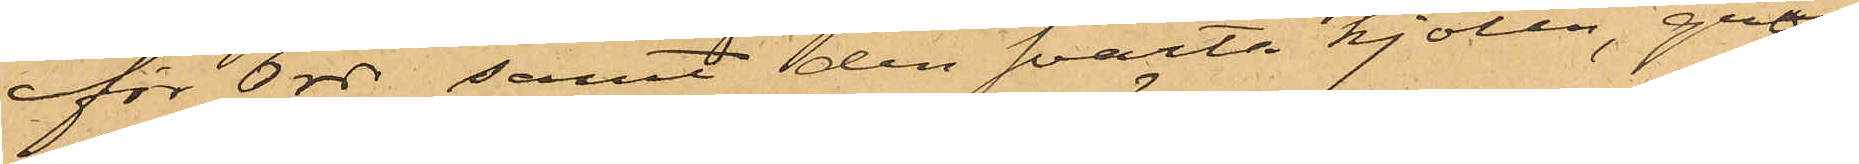för 6 rdr samt den svarta kjolen, grön¬
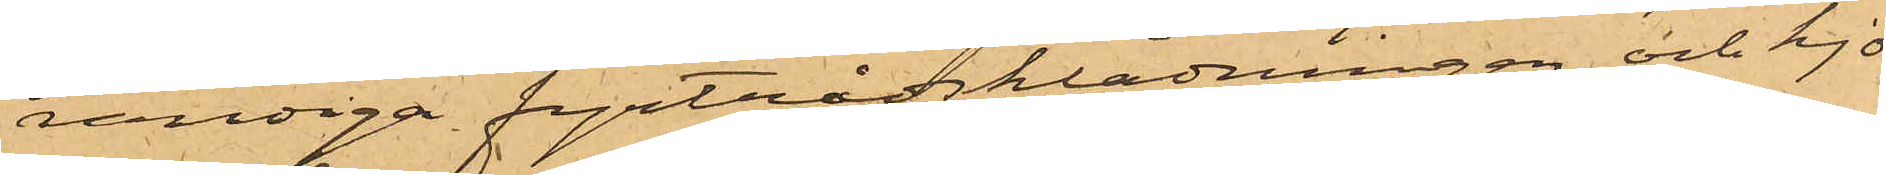randiga fyrtrådsklädningen och kjo¬
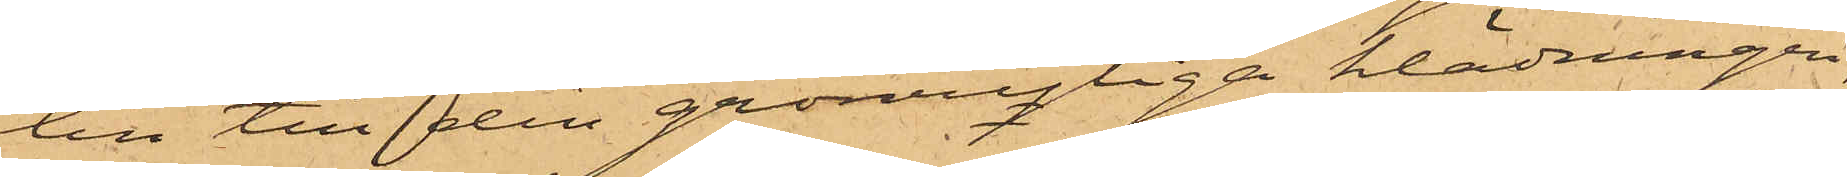ten till den grönrutiga klädningen,
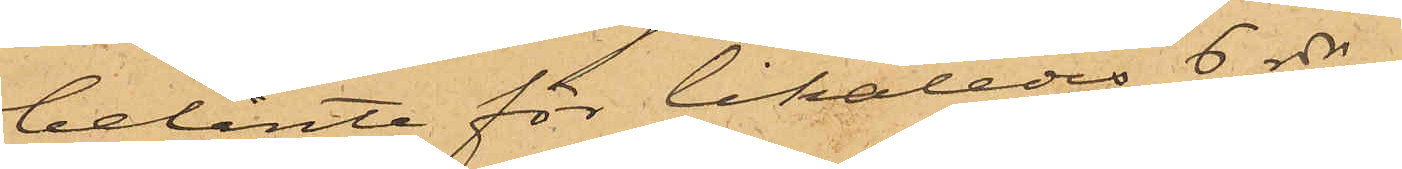belånte för likaledes 6 rdr,
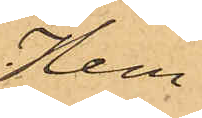Hem¬
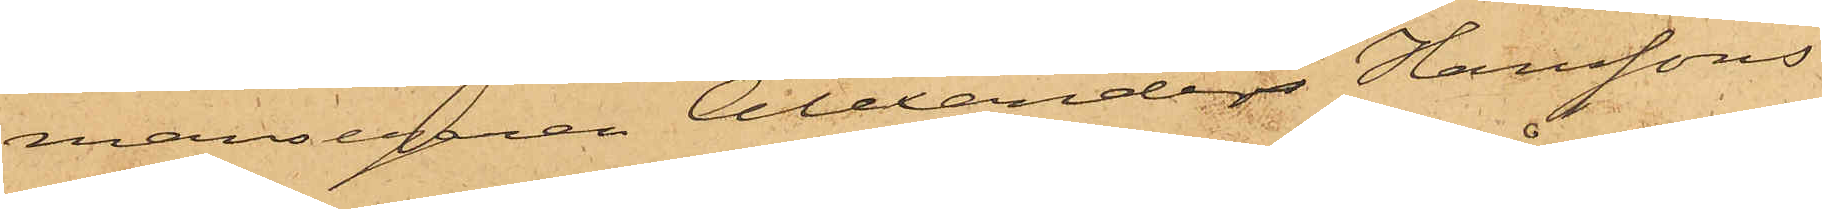mansegaren Alexander Hanssons
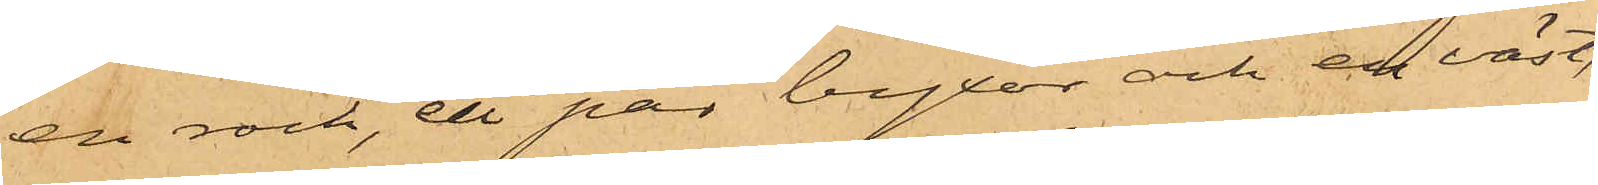en rock, ett par byxor och en väst,
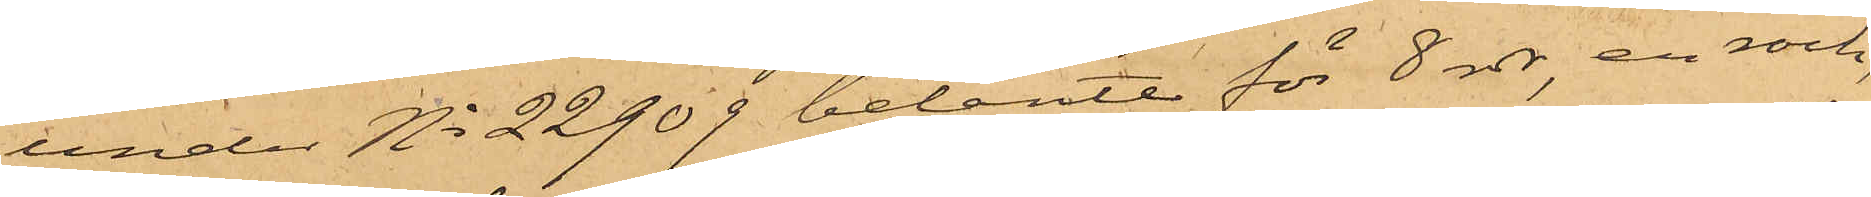under No 22909 belånte för 8 rdr, en rock,
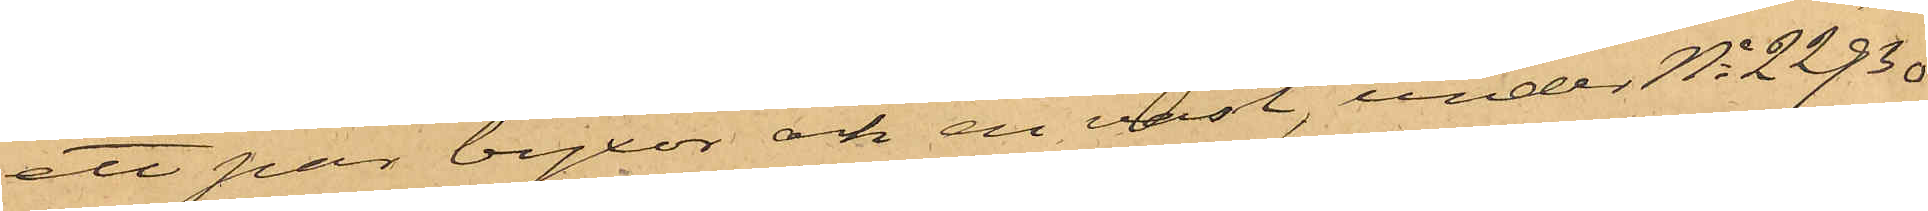ett par byxor och en väst, under No 22930
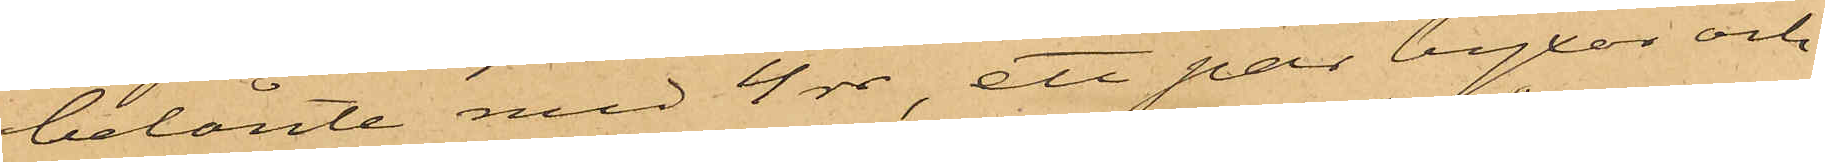belånte med 4 rdr, ett par byxor och
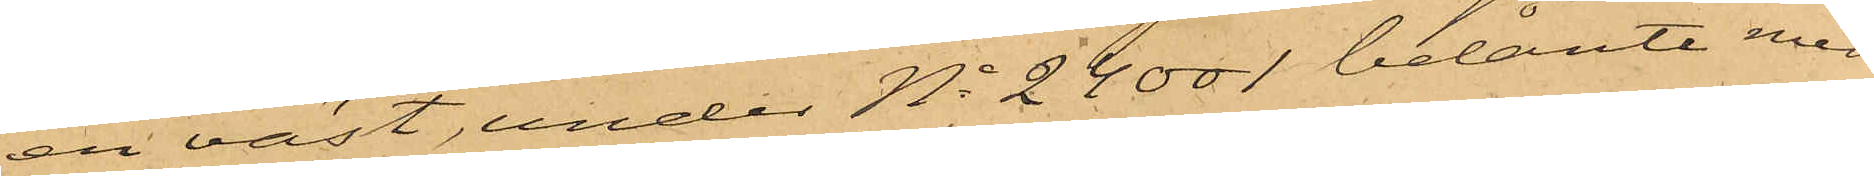en väst, under No 24001 belånte med
